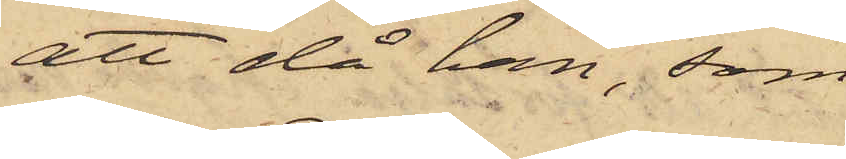att då han, som
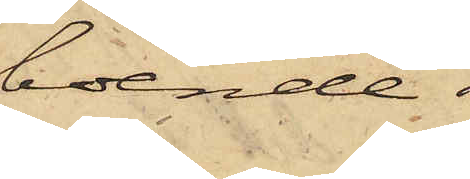boende i
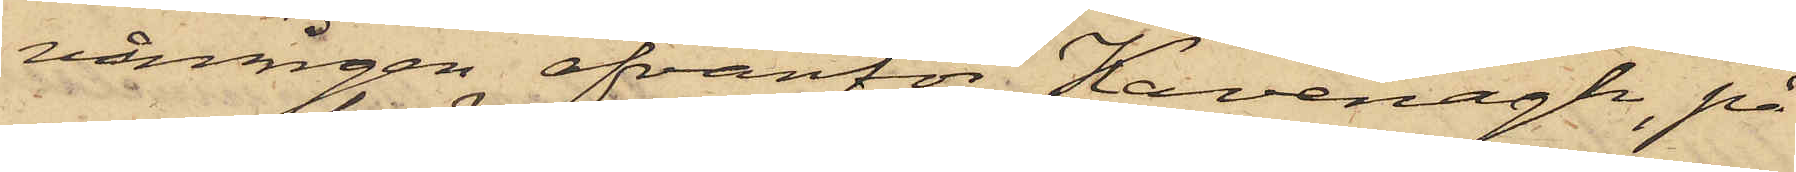våningen ofvanför Kavenagh, på
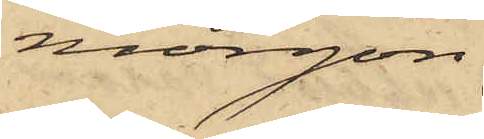morgon
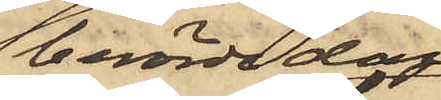berörde dag
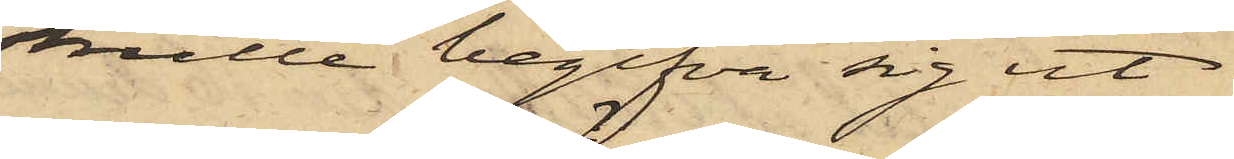skulle begifva sig ut
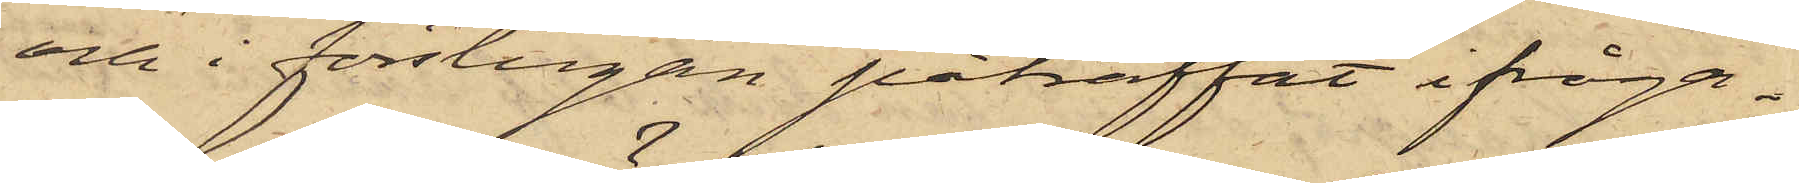och i förstugan påträffat ifråga¬
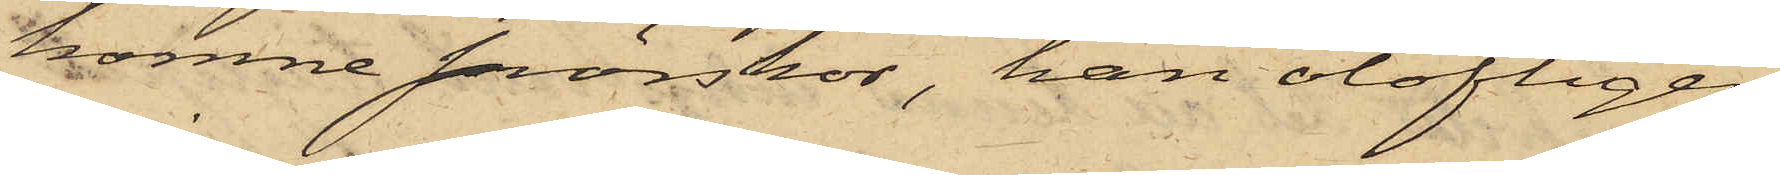komne snörskor, han olofligen
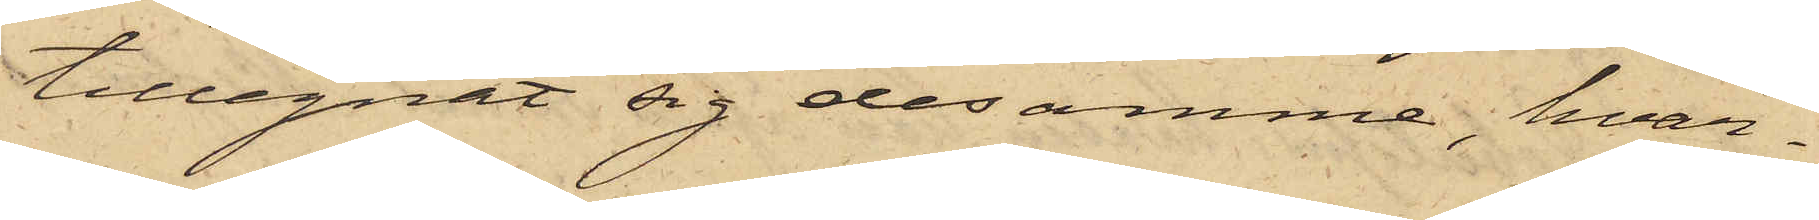tillegnat sig desamme, hvar¬
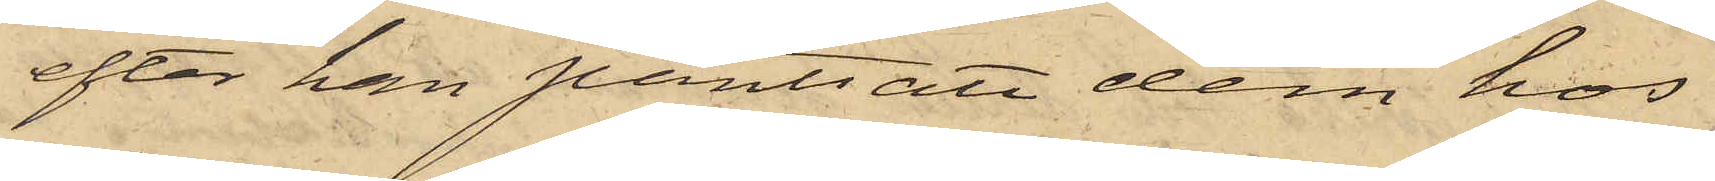efter han pantsatt dem hos
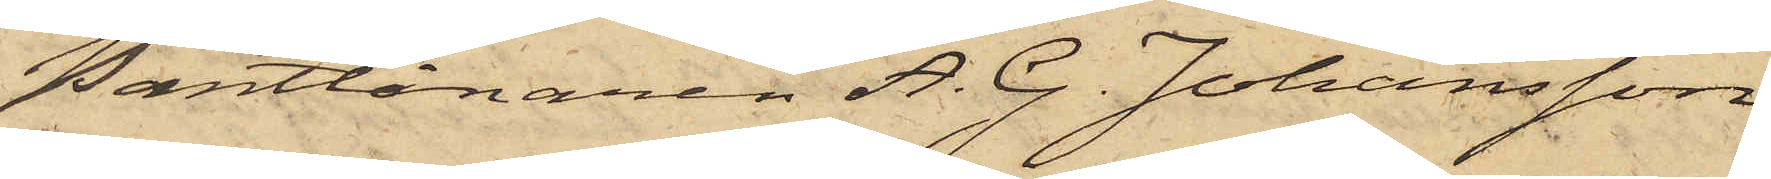Pantlånaren A. G. Johansson
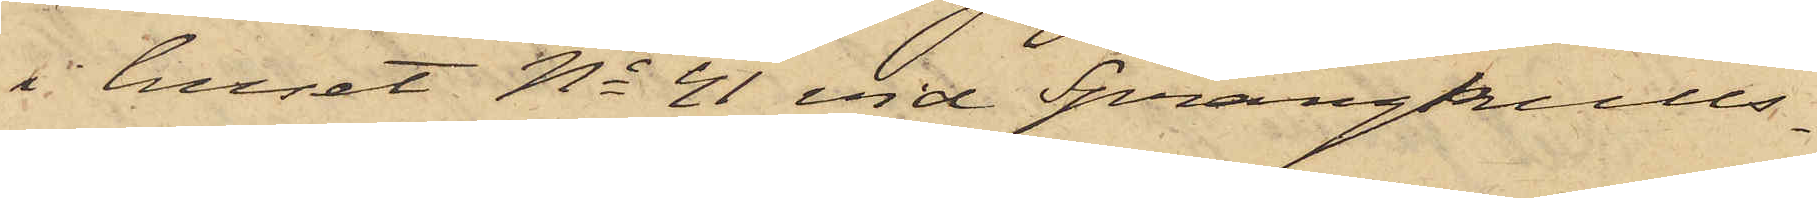i huset No 41 vid Sprängkulls¬
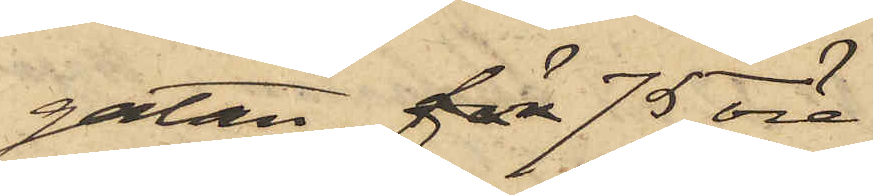gatan, för 75 öre.
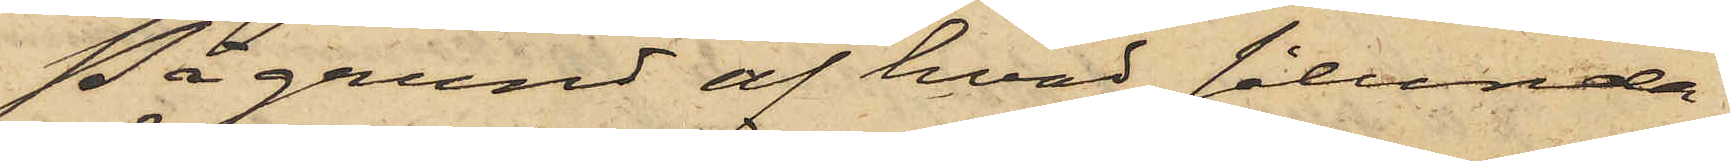På grund af hvad sålunda
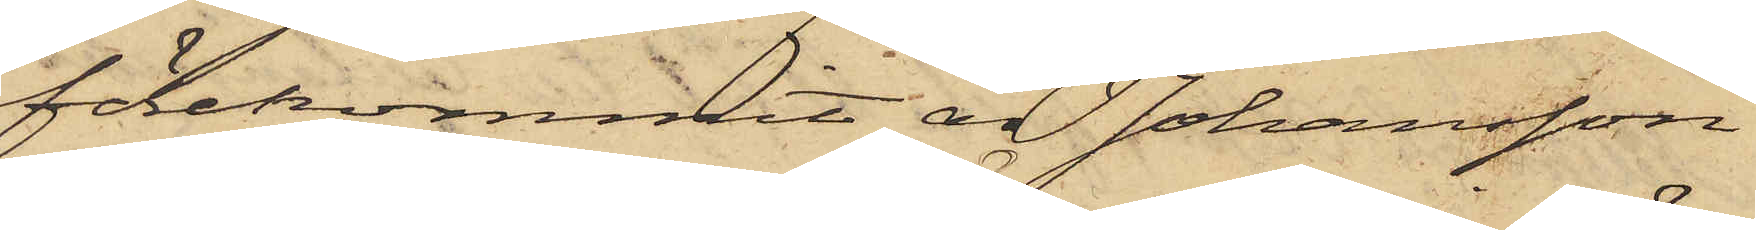förekommit, är Johansson
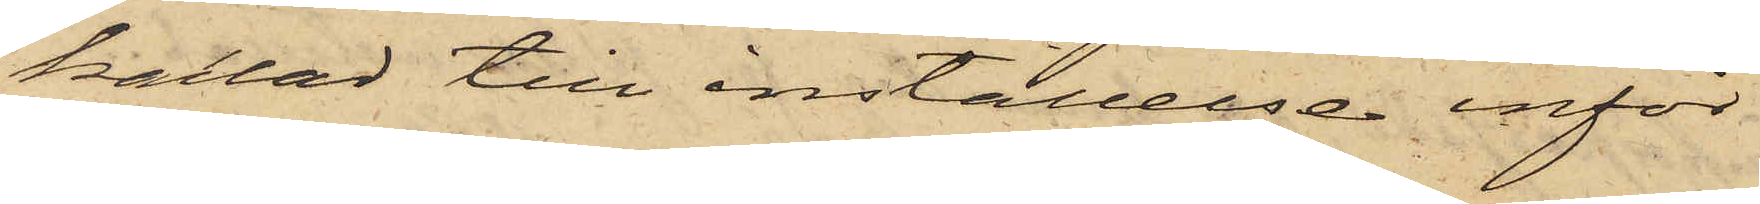kallad till inställelse inför
